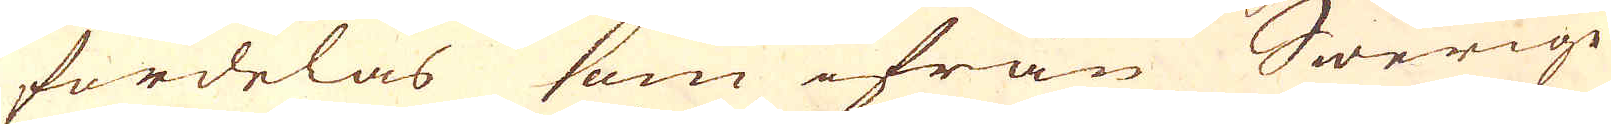fördelas som ifrån Swerige
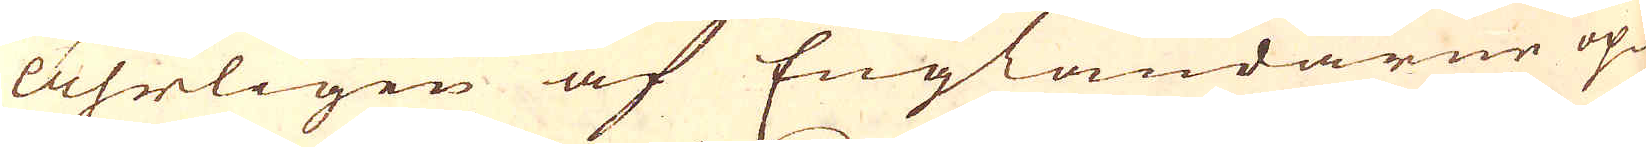åhrligen af Engländarne op-
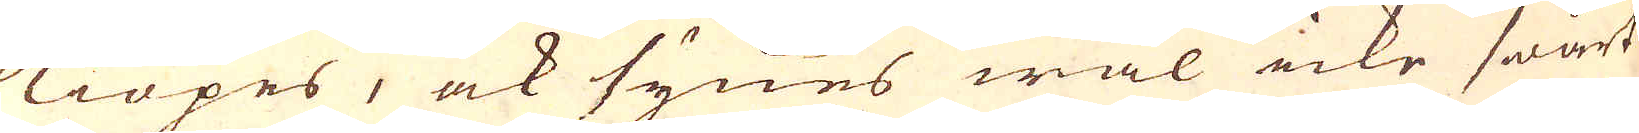kiöpes, ock synes wäl icke swårt
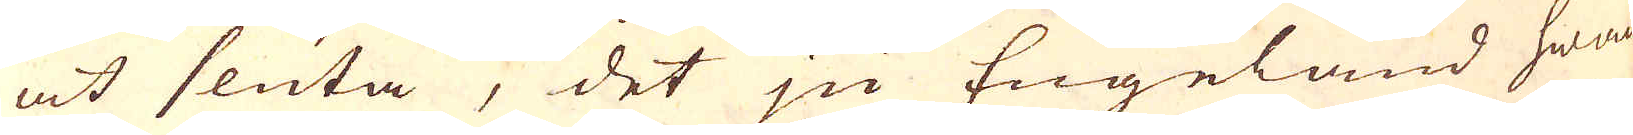at sluta, det ju Engeland hwad
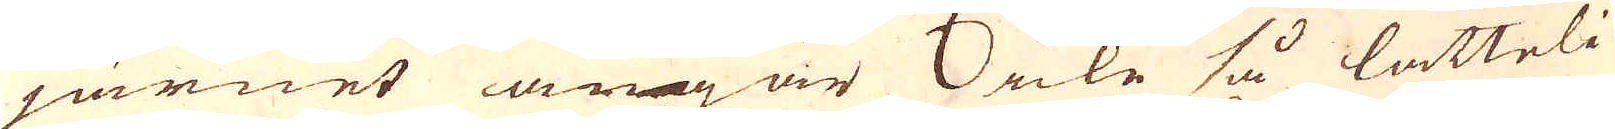järnet angår icke så lätteli-
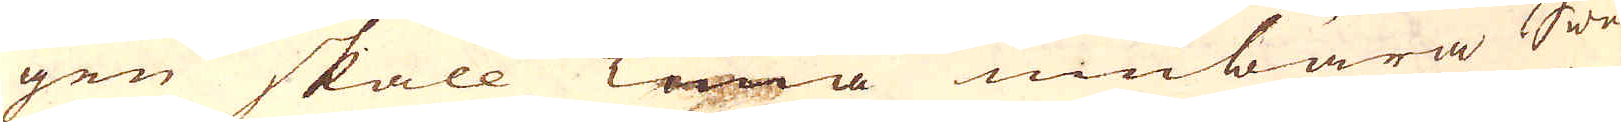gen skall kunna umbära Swe-
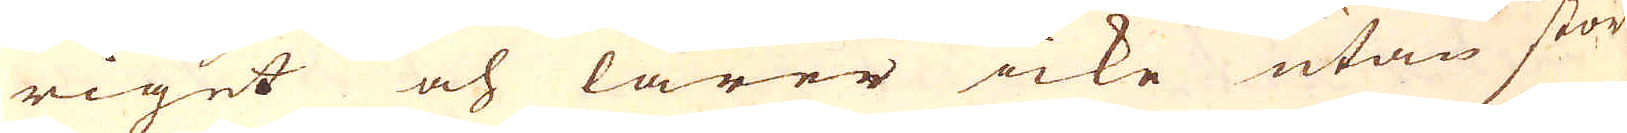riget och lärer icke utan stör-
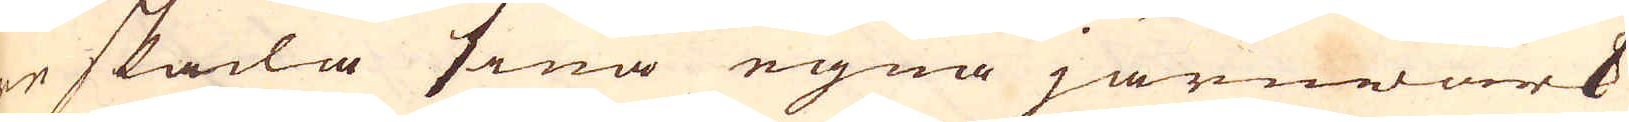re skada sina egna järnwärk
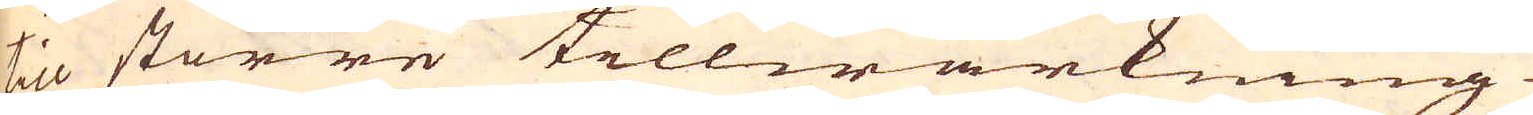til större tillwärkning.
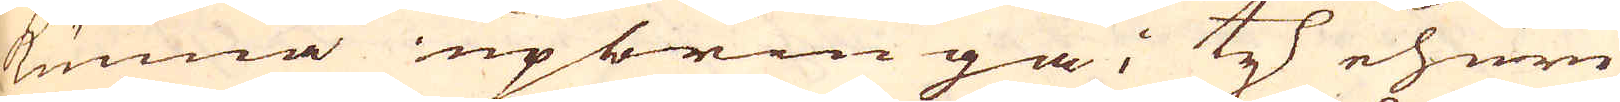kunna upbringa; ty ehuru
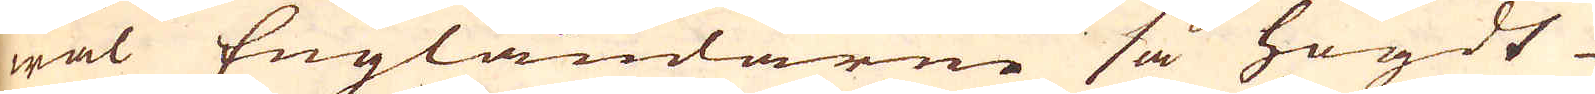wäl Engländarne så högdt
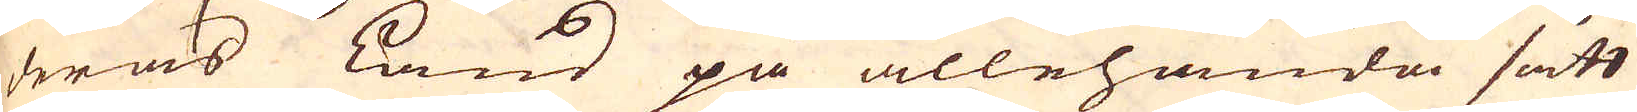deras Land på allehanda sätt
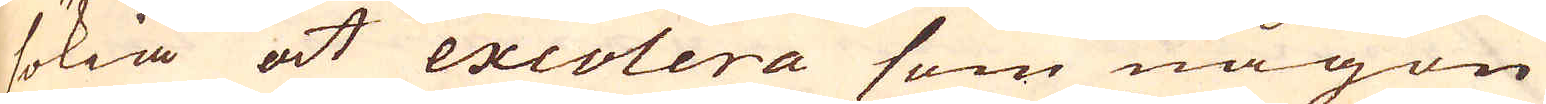sökia at excolera som någon
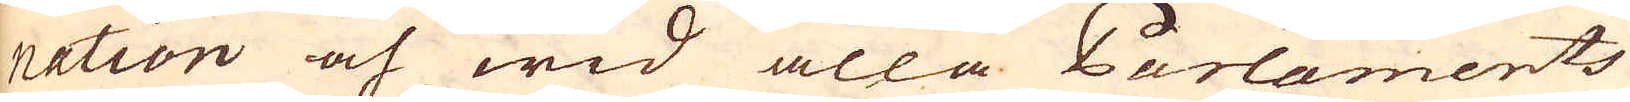nation och wid alla Parlaments
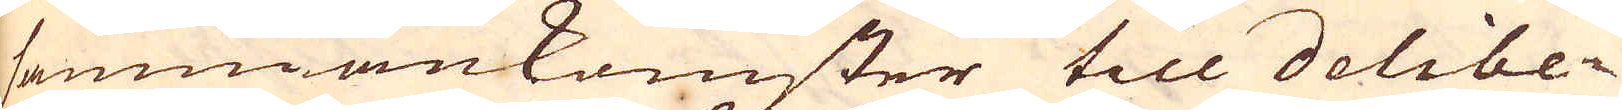sammankomster till delibe-
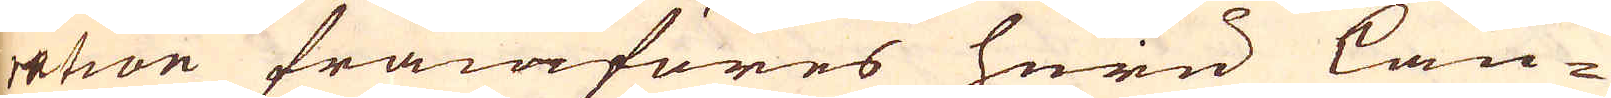ration framföres huru lan-
